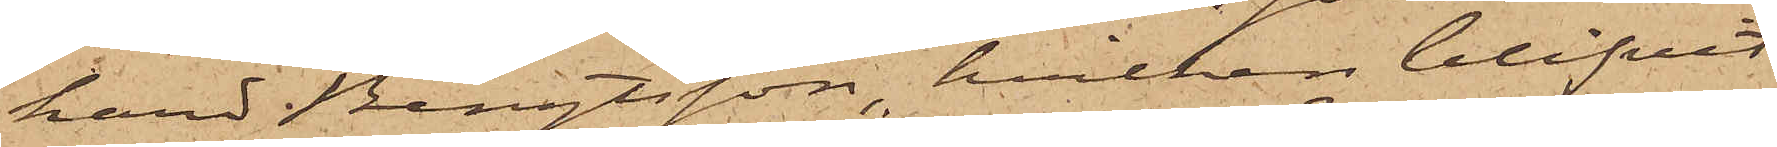hard Bengtsson, hvilken blifvit
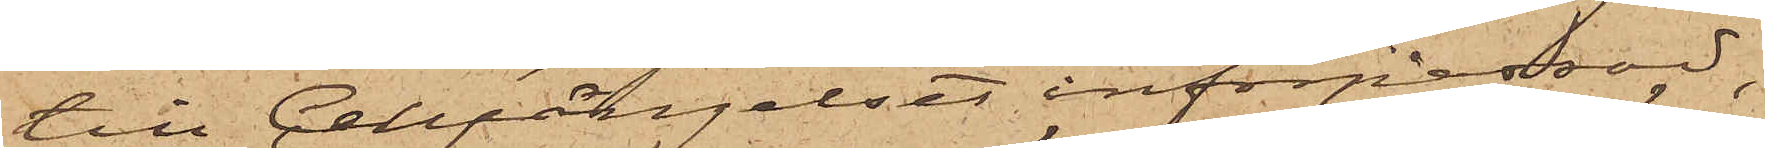till Cellfängelset införpassad,
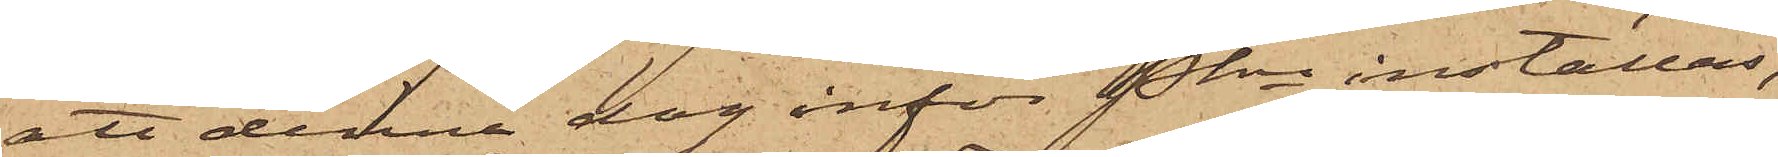att denna dag inför Pkn inställas,
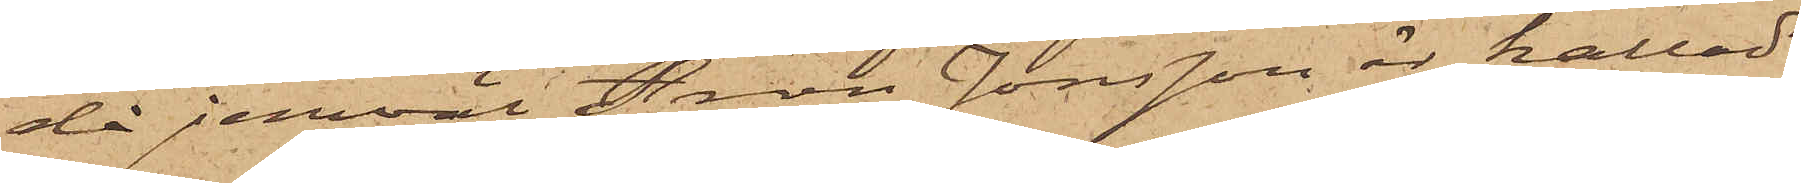då jemväl Aron Jonsson är kallad
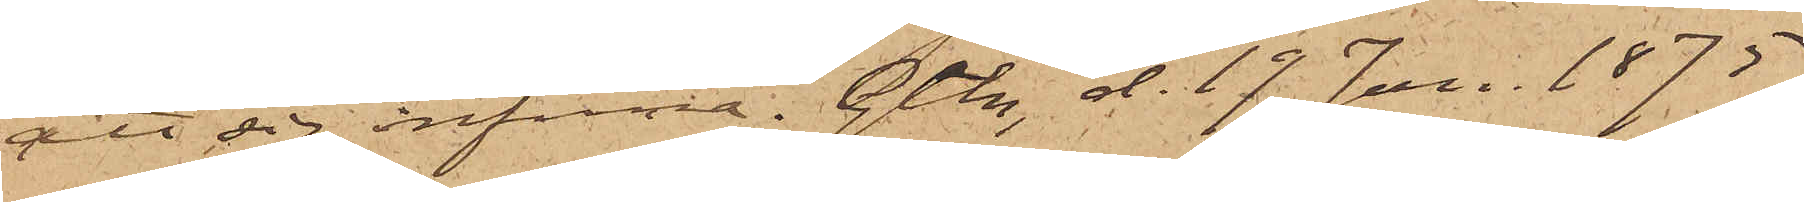att sig infinna. Gtbg d. 17 Jan. 1875.
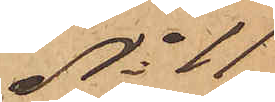No 11
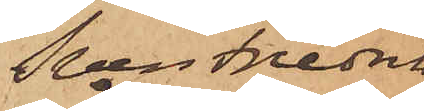Sven Fredrik
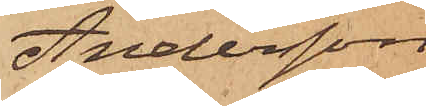Andersson
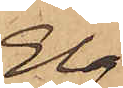Elg.
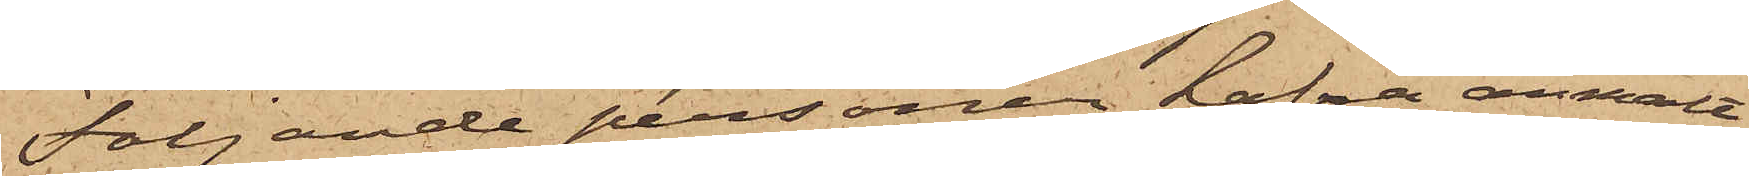Följande personer hafva anmält
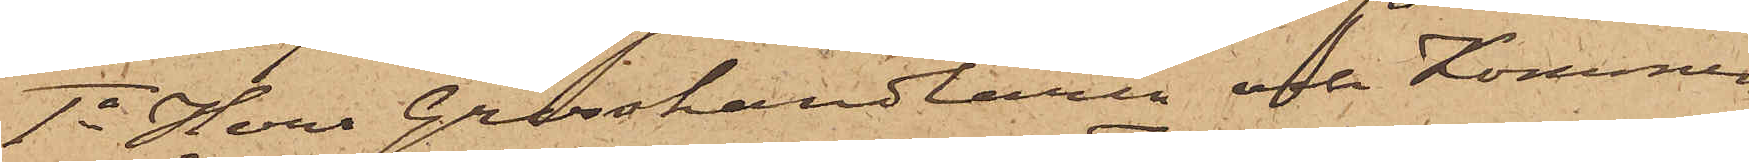1o Herr Grosshandlaren och Kommen¬
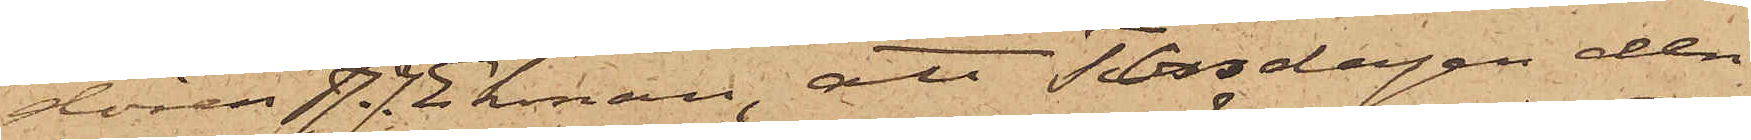dören J. J. Ekman, att Torsdagen den
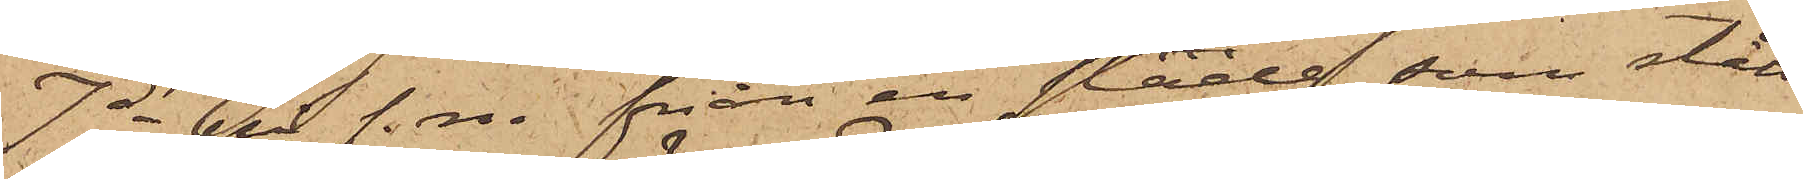7 ds på f. m. från en släde, som stått
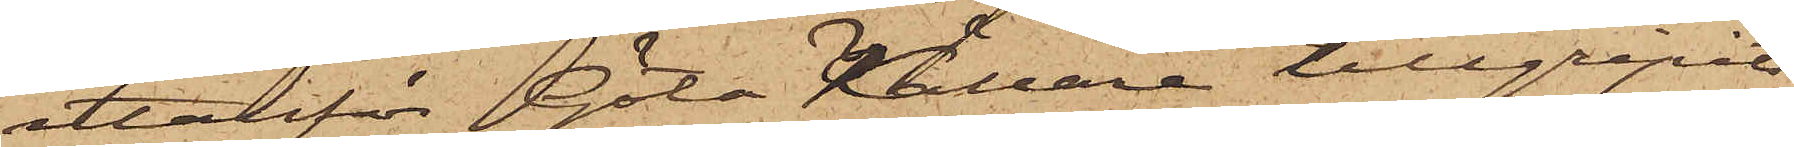utanför Göta Källare tillgripits
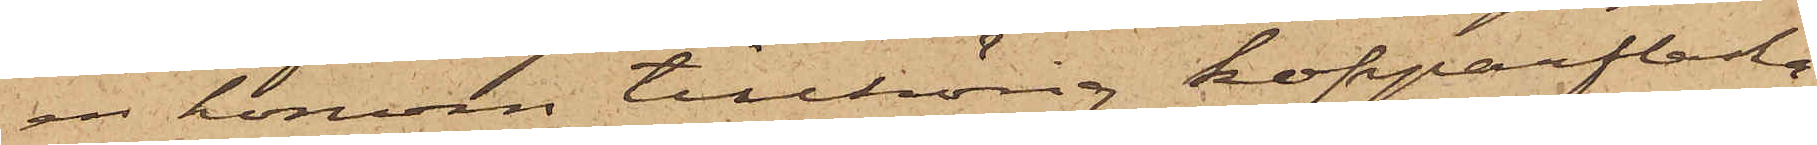en honom tillhörig kopparflaska,
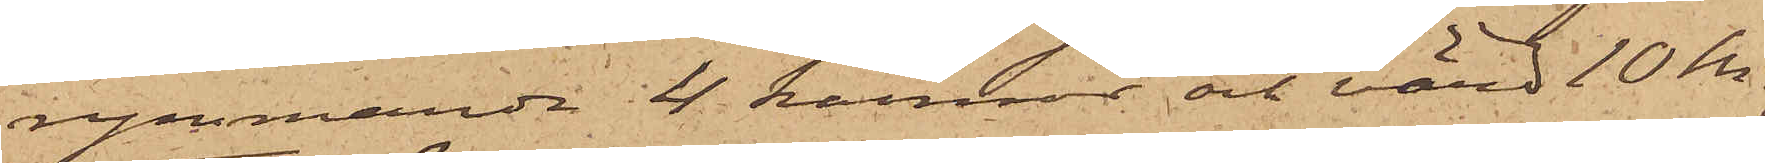rymmande 4 kannor och värd 10 kr;
